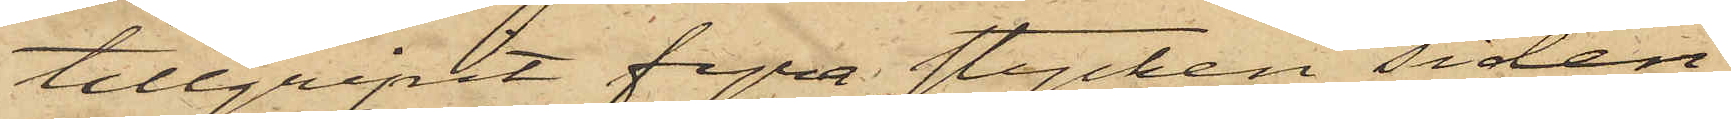tillgripit fyra stycken siden¬
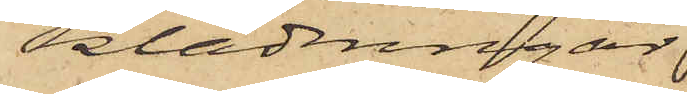klädningar
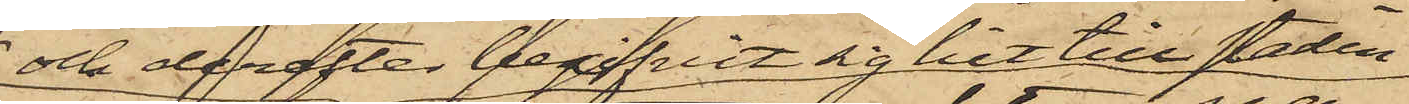och derefter begifvit sig hit till staden
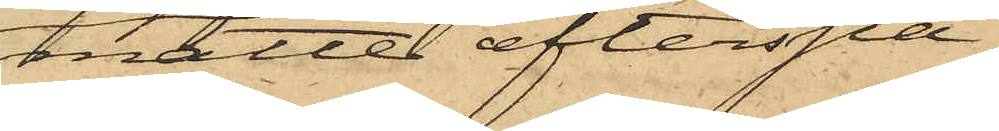måtte efterspa¬
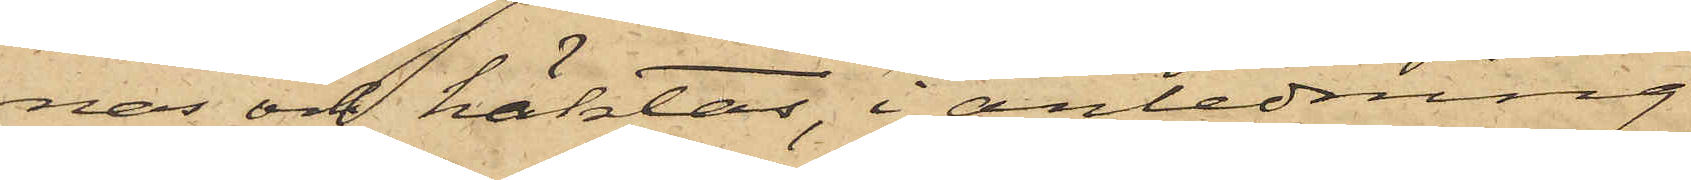nas och häktas, i anledning
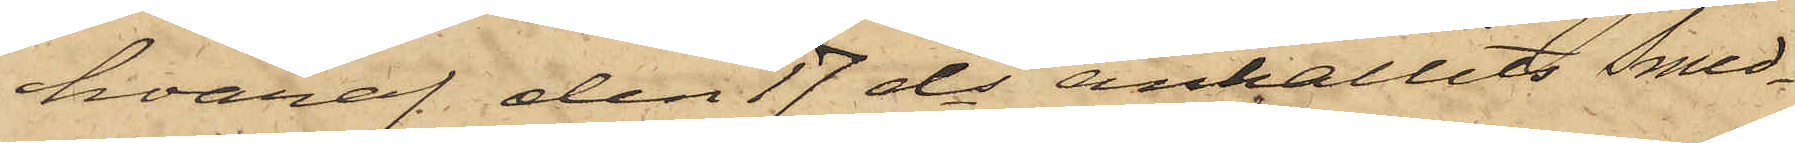hvaraf den 17 ds anhållits Smed¬
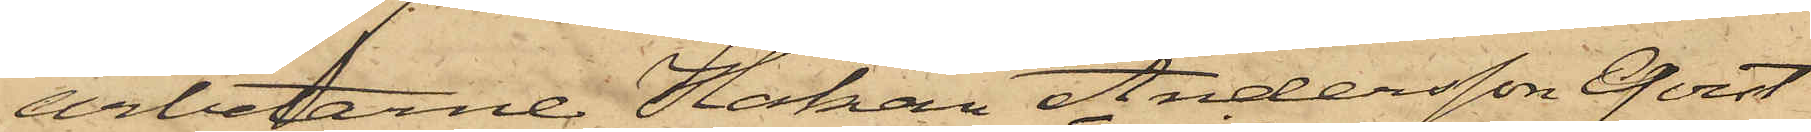arbetarne Håkan Andersson Qvist
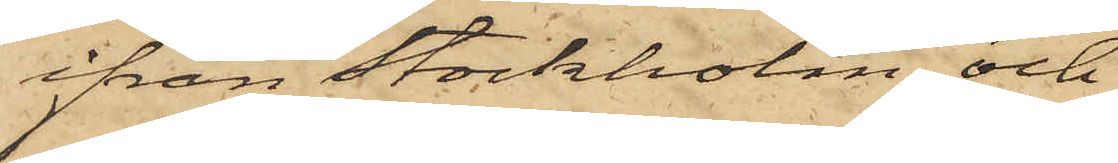ifrån Stockholm och
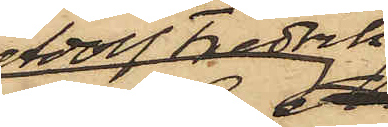Adolf Fredrik
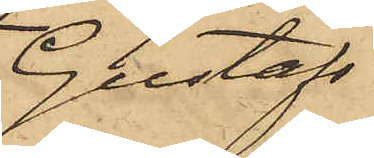Gustafs¬
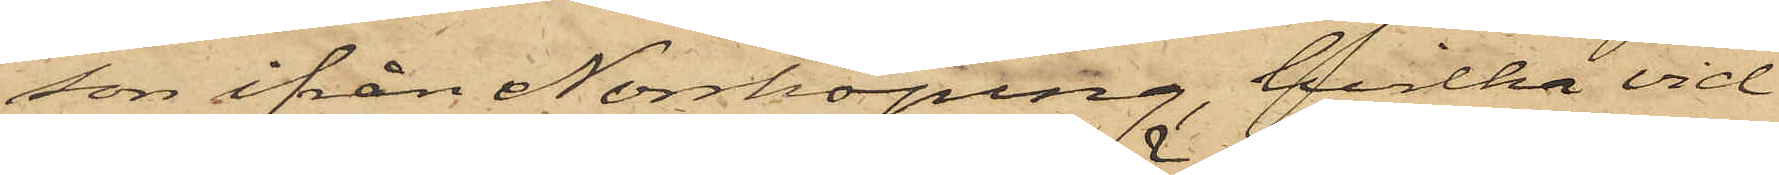son ifrån Norrköping, hvilka vid
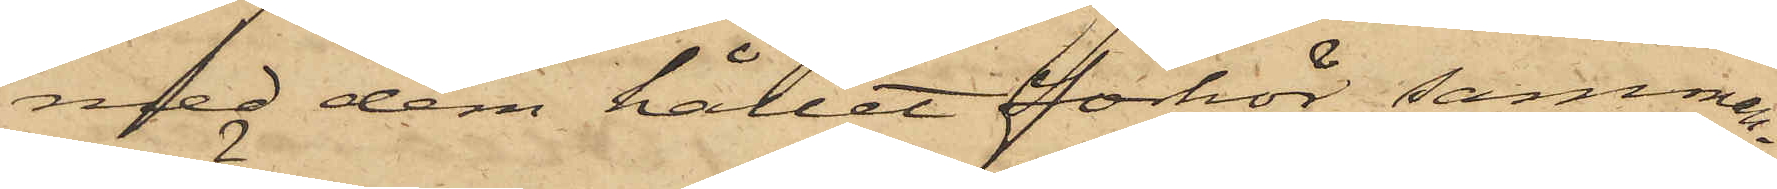med dem hållet förhör samman¬
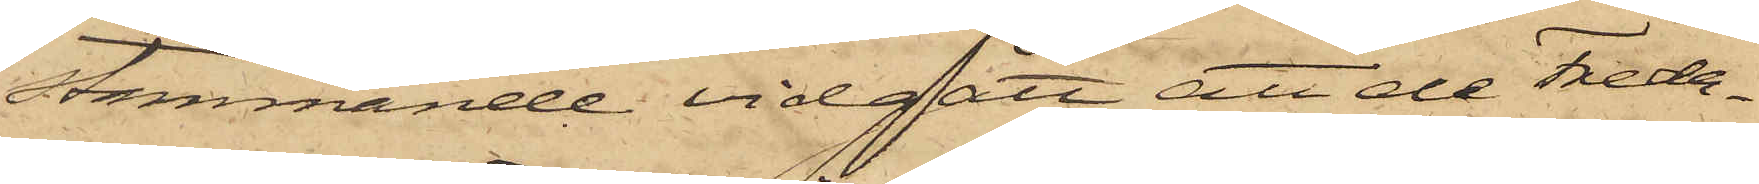stämmande vidgått, att de Freda¬
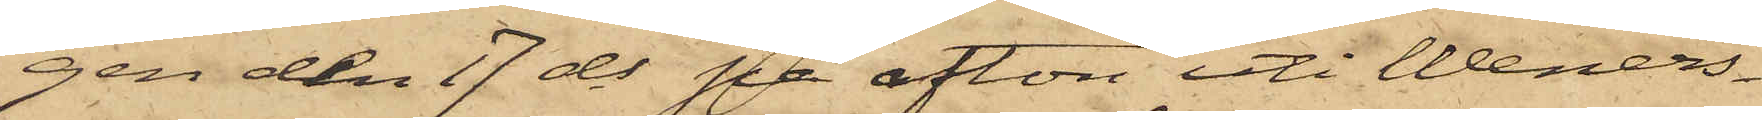gen den 17 ds på afton uti Weners¬
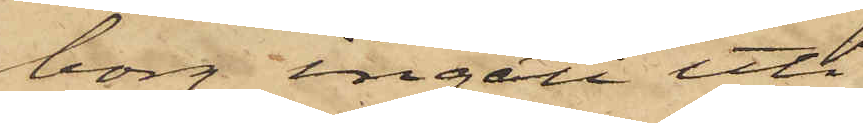borg ingått uti
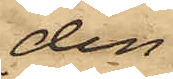den
